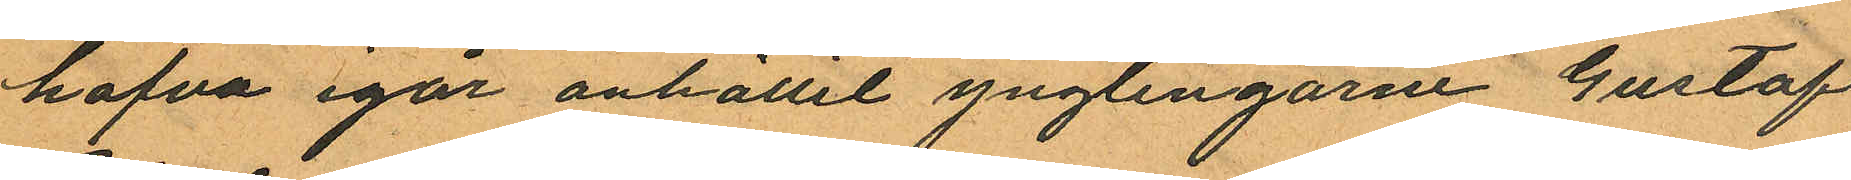hafva igår anhållit ynglingarne Gustaf
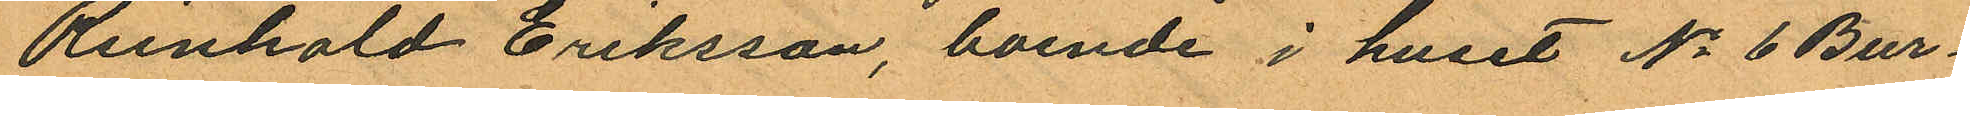Reinhold Eriksson, boende i huset No 6 Bur¬
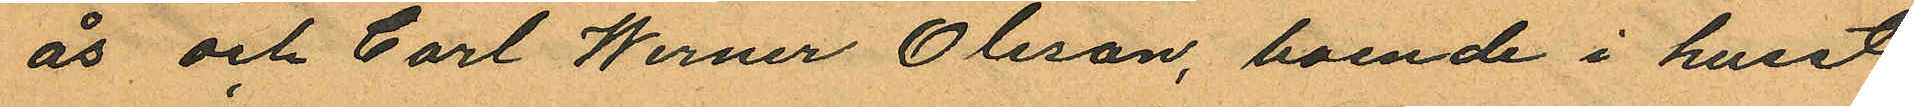ås och Carl Werner Olsson, boende i huset
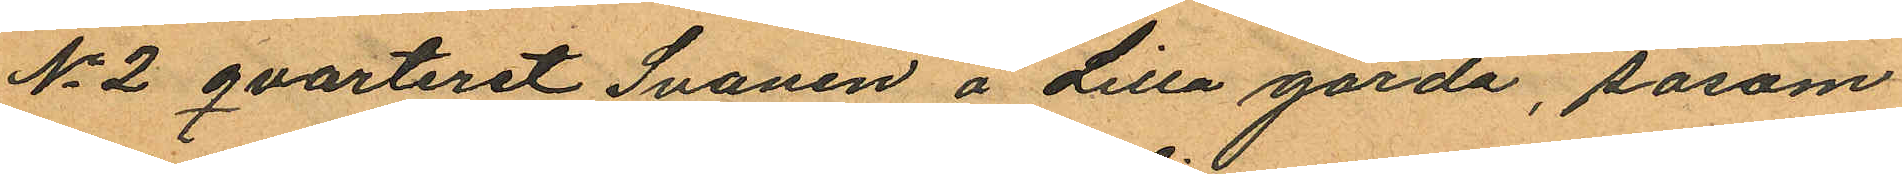No 2 qvarteret Svanen å Lilla gårda, såsom
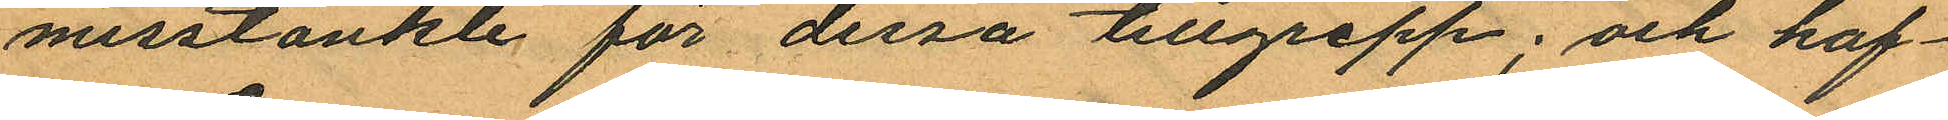misstänkte för dessa tillgrepp; och haf¬
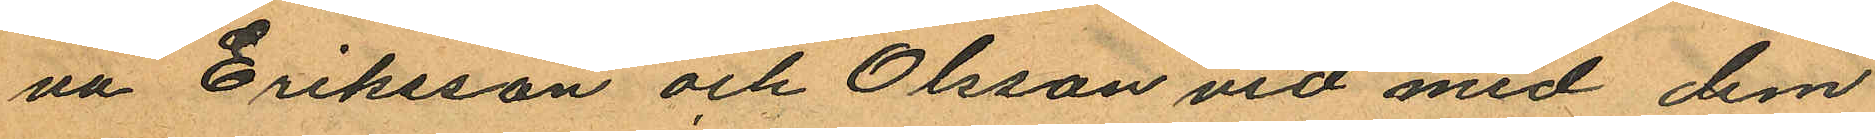va Eriksson och Olsson vid med dem
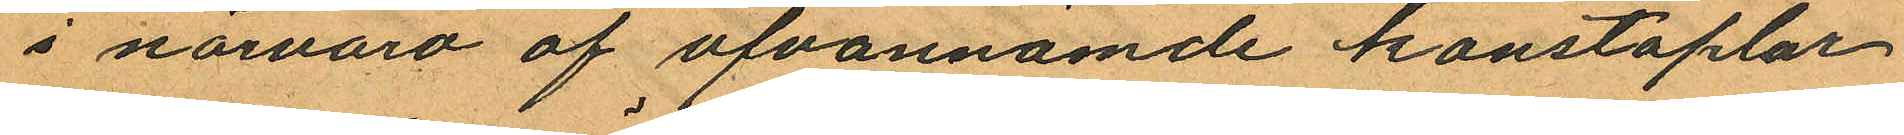i närvaro af ofvannämde konstaplar
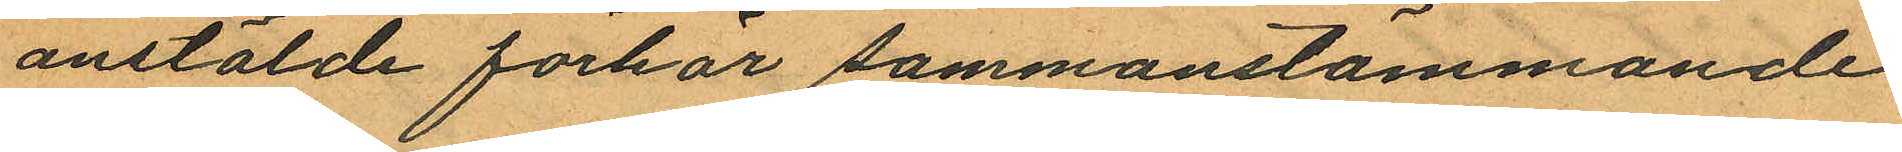anstälde förhör sammanstämmande
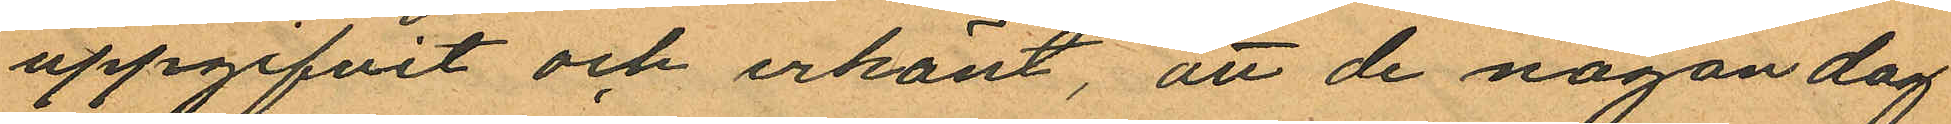uppgifvit och erkänt, att de någon dag
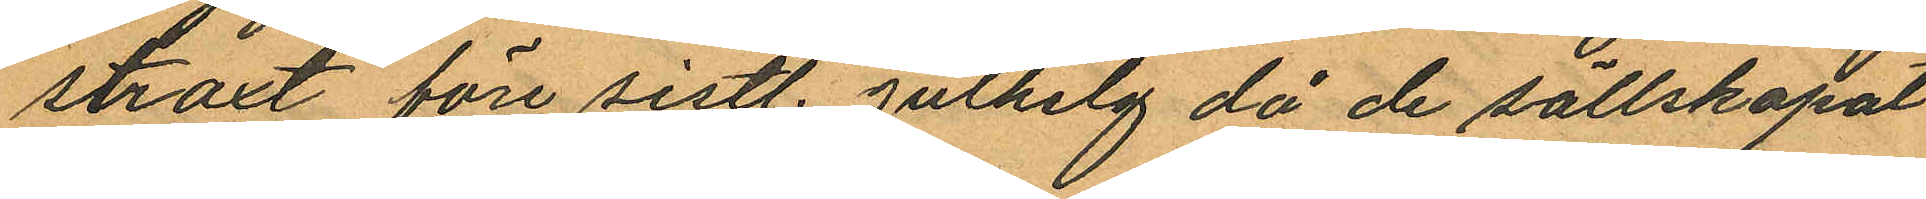straxt före sistl. julhelg då de sällskapat
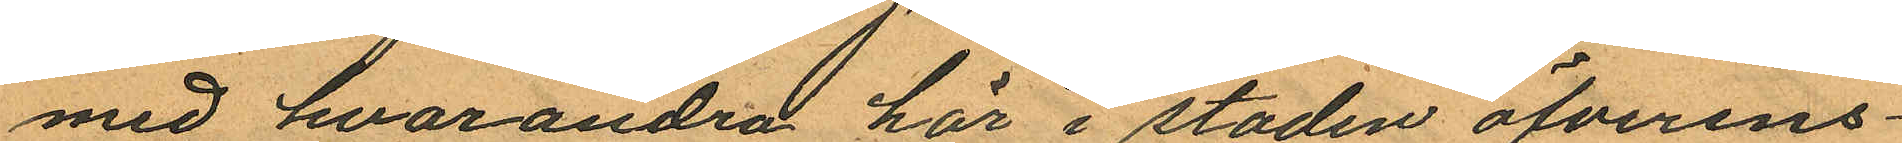med hvarandra här i staden öfverens¬
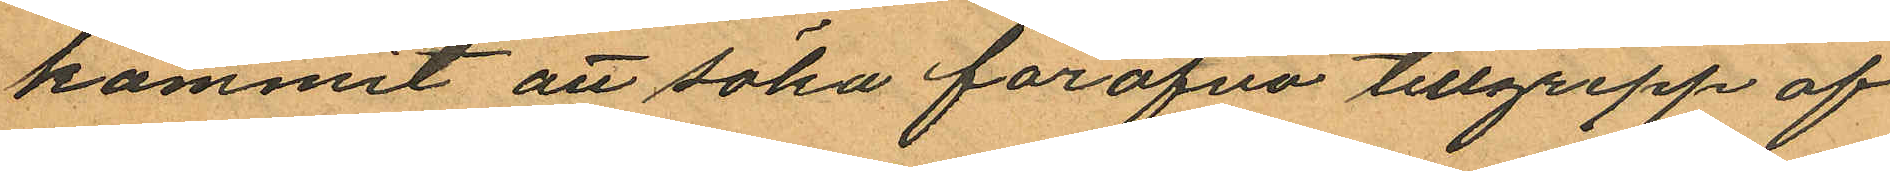kommit att söka föröfva tillgrepp af
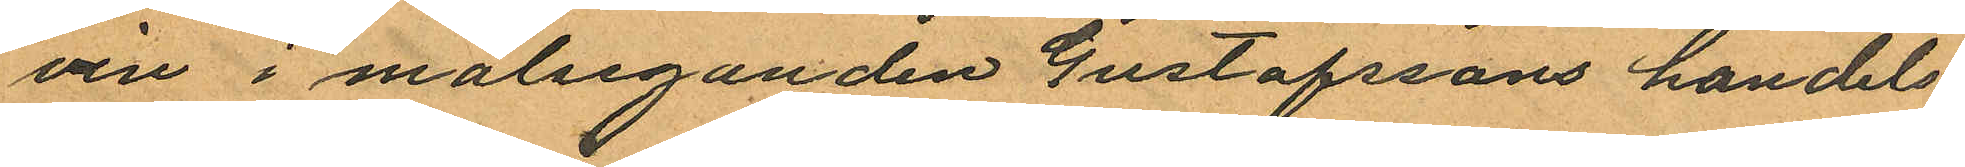vin i målseganden Gustafssons handels¬
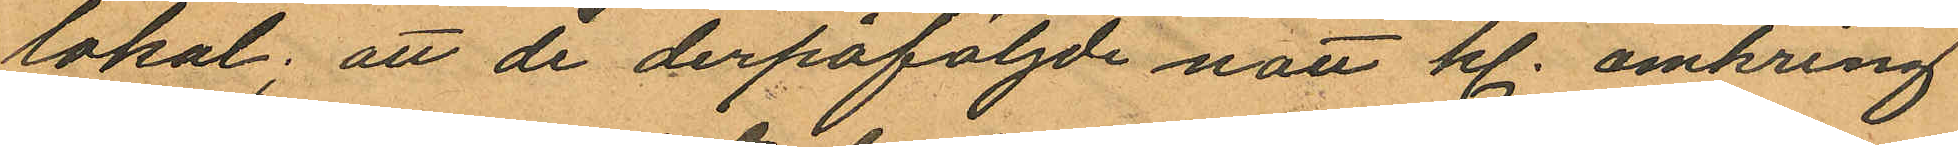lokal; att de derpåföljde natt kl. omkring
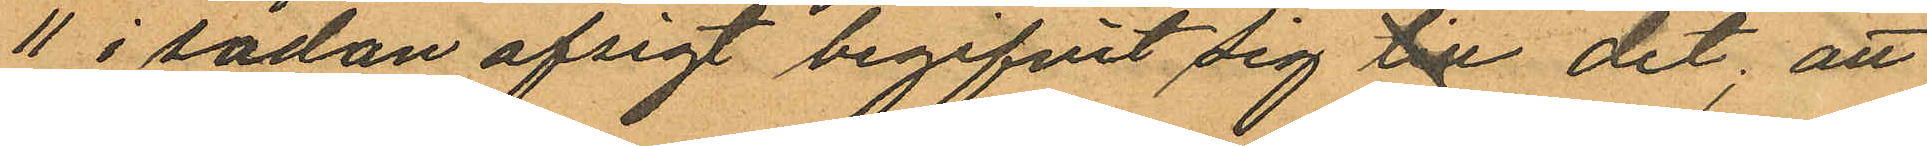11 i sådan afsigt begifvit sig till dit; att
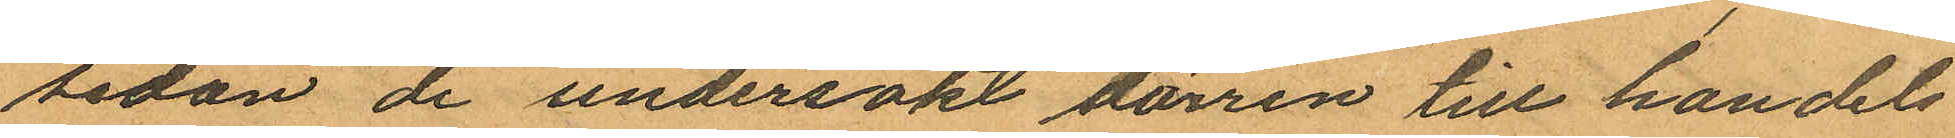sedan de undersökt dörren till handels
